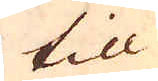till
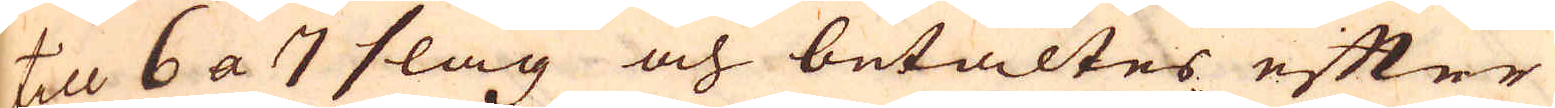till 6 a 7 slag och betaltes efter
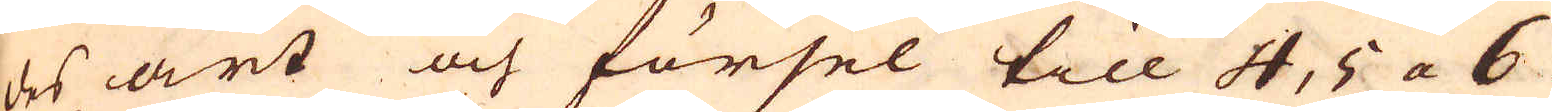des art och försel till 4, 5 a 6
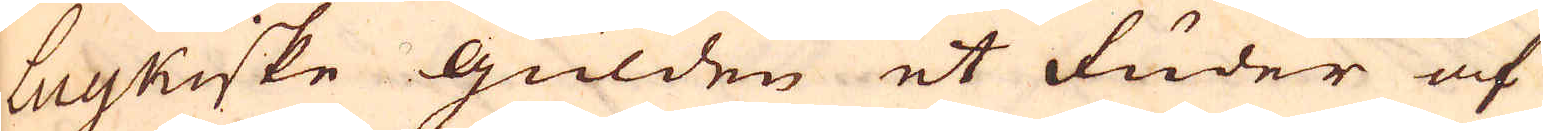luykiske gülden et fuder af
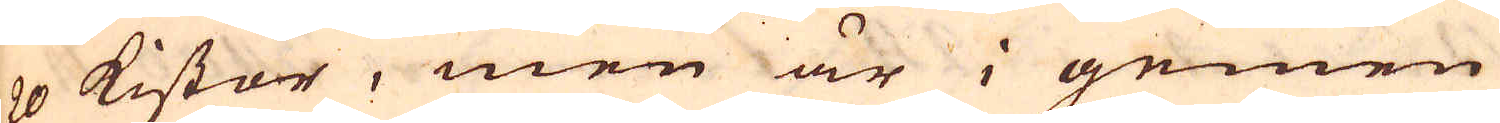20 kistor, men är i gemen
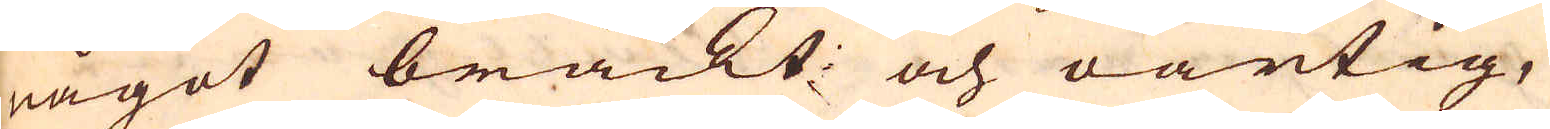något brackt: och oartig,
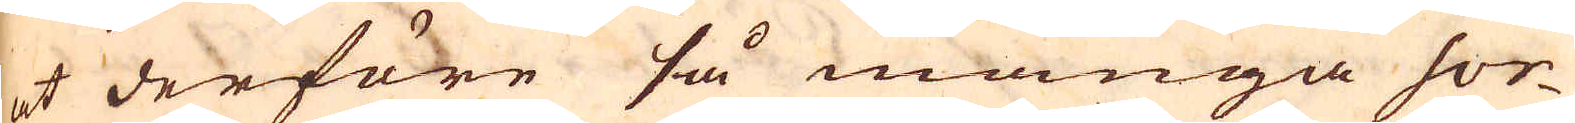at derföre så många sor-
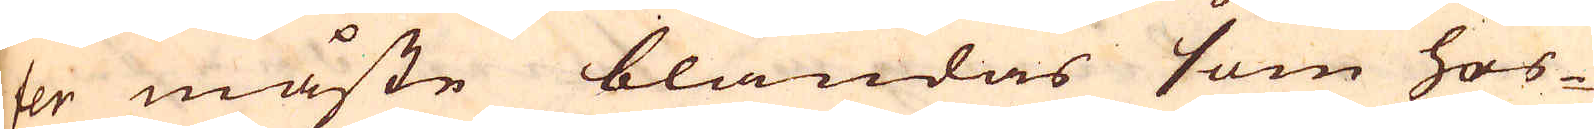ter måste blandas som hos-
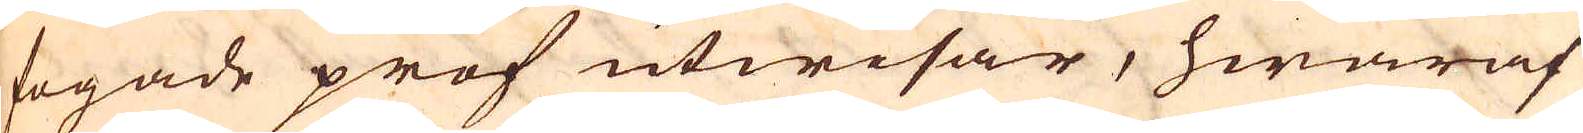fogade prof utwisar, hwaraf
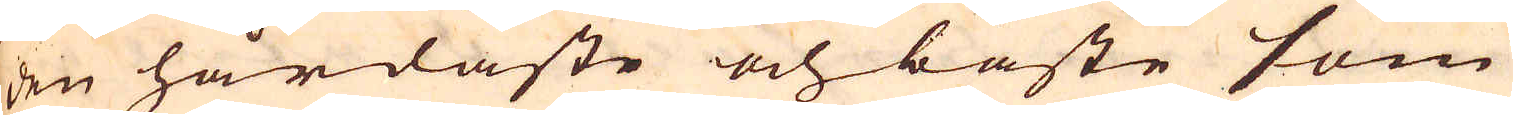den hårdaste och bäste som
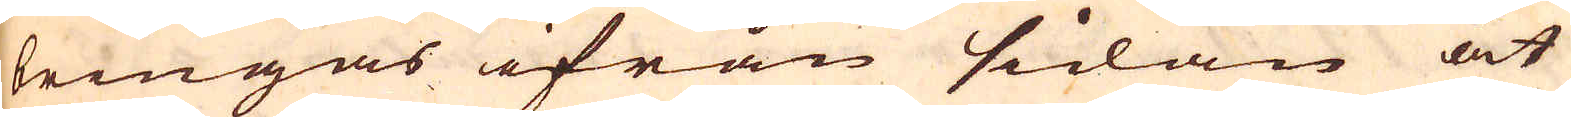bringas ifrån sidan åt
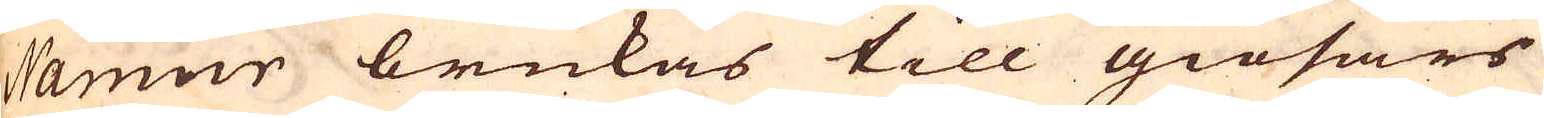Namur brukas till giösars
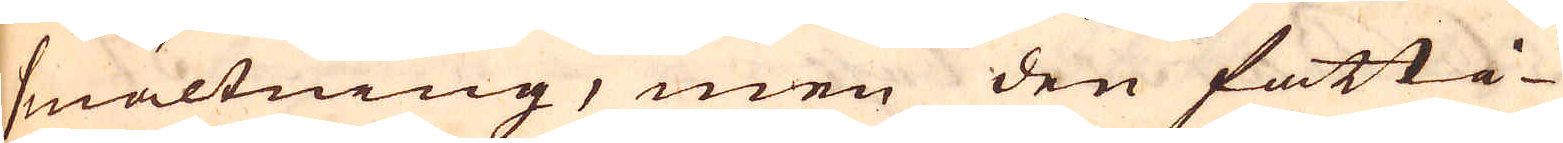smältning, men den fatti-
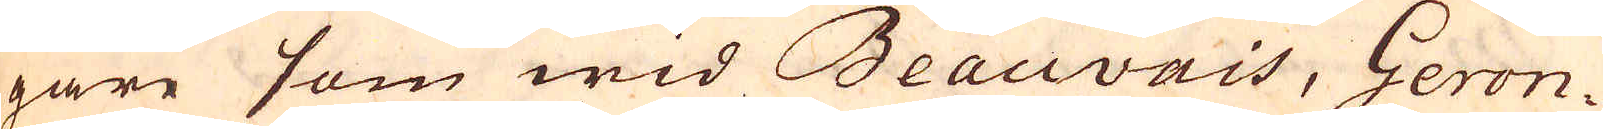gare som wid Beauvais, Geron-
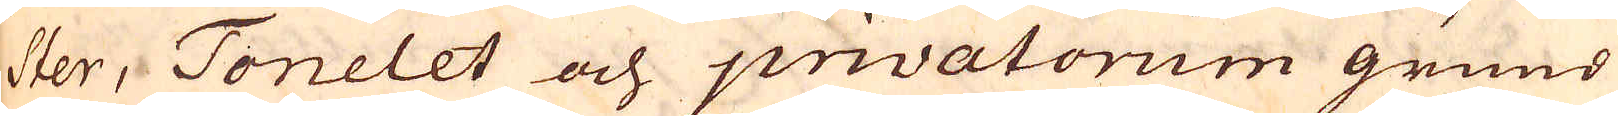ster, Tonelet och privatorum grund
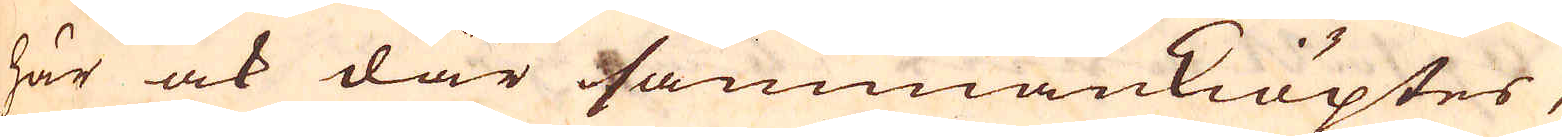här ock där sammankiöptes,
